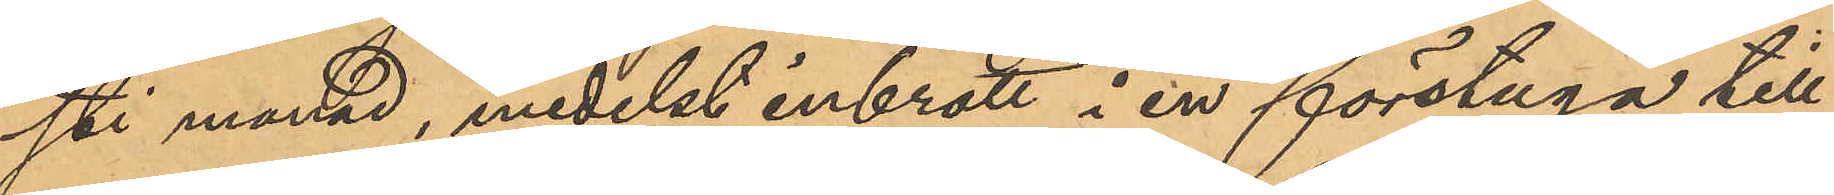sti månad, medelst inbrott i en förstuga till
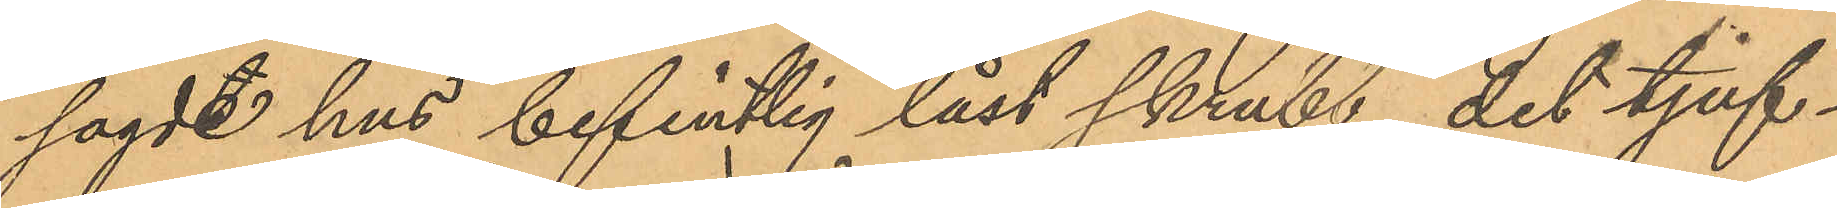sagde hus befintlig låst skrubb, det tjuf¬
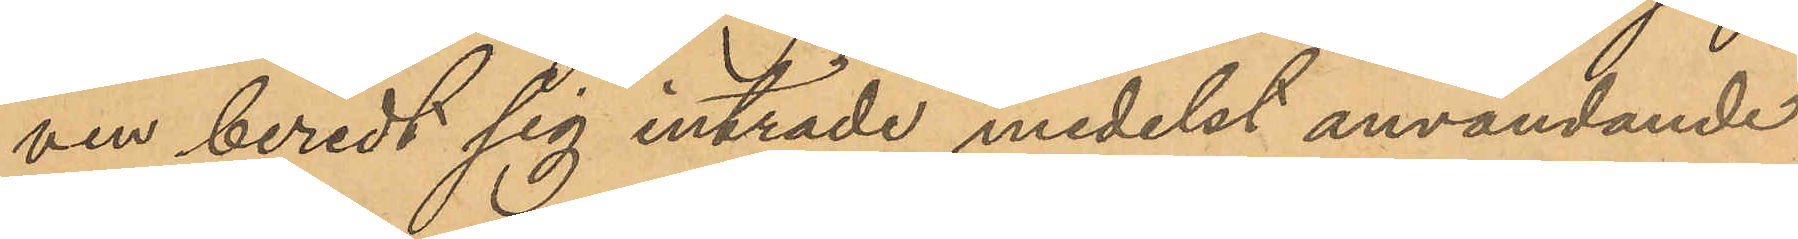ven beredt sig inträde medelst användande
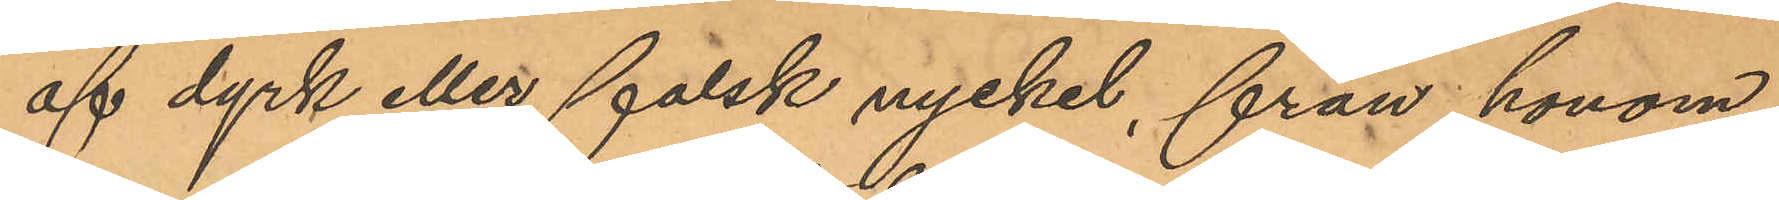af dyrk eller falsk nyckel, från honom
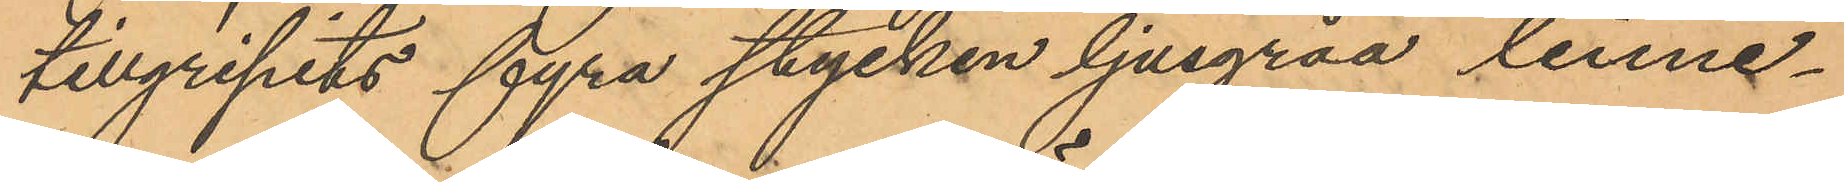tillgripits fyra stycken ljusgråa linne¬
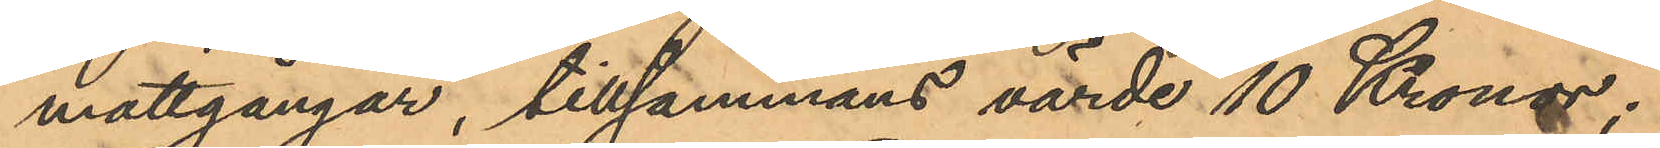mattgångar, tillsammans värde 10 Kronor;
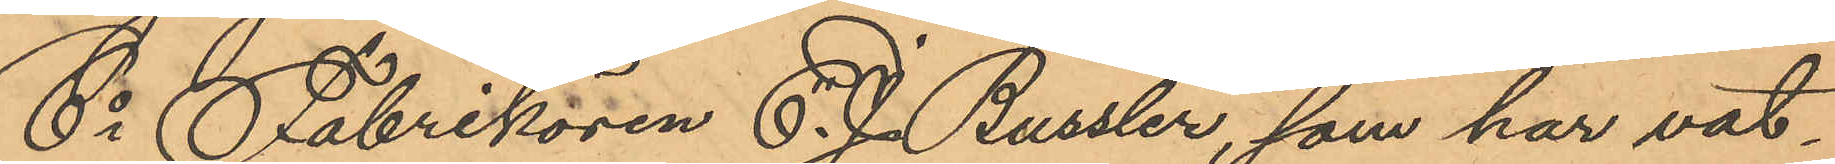6o Fabrikören C. J. Bussler, som har vat¬
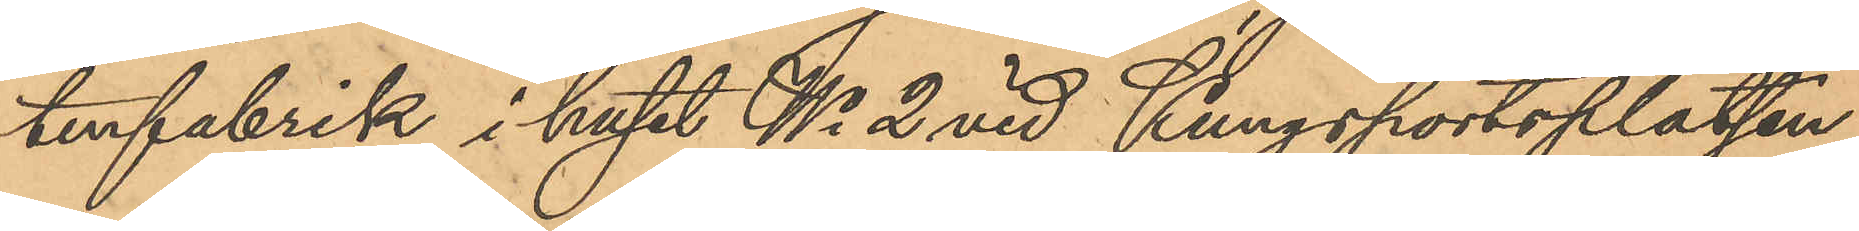tenfabrik i huset No 2 vid Kungsportsplatsen,
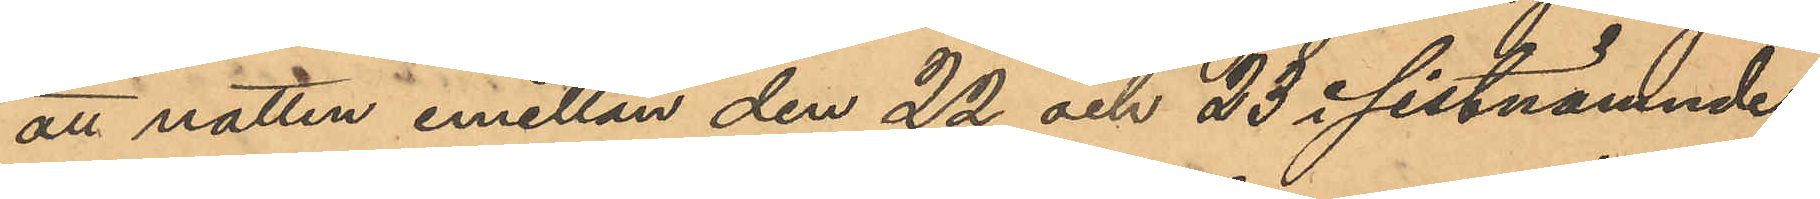att natten emellan den 22 och 23 i sistnämnde
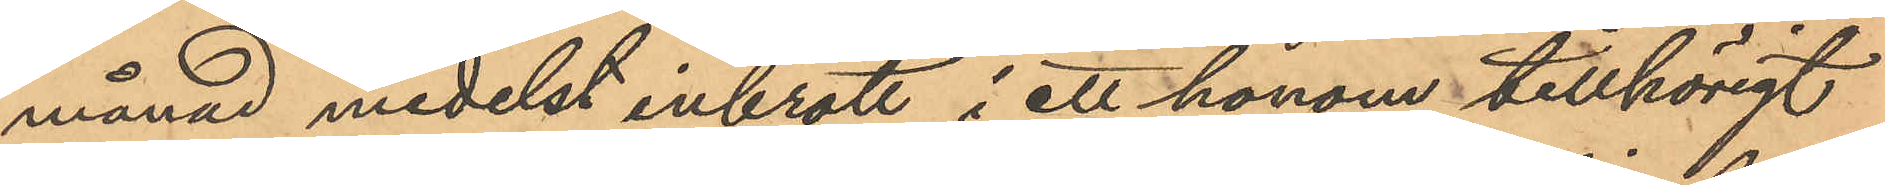månad medelst inbrott i ett honom tillhörigt
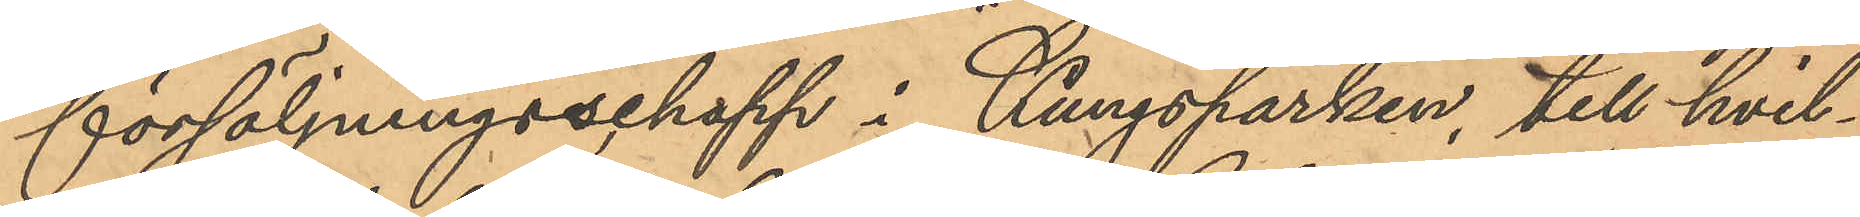försäljningsschapp i Kungsparken, till hvil¬
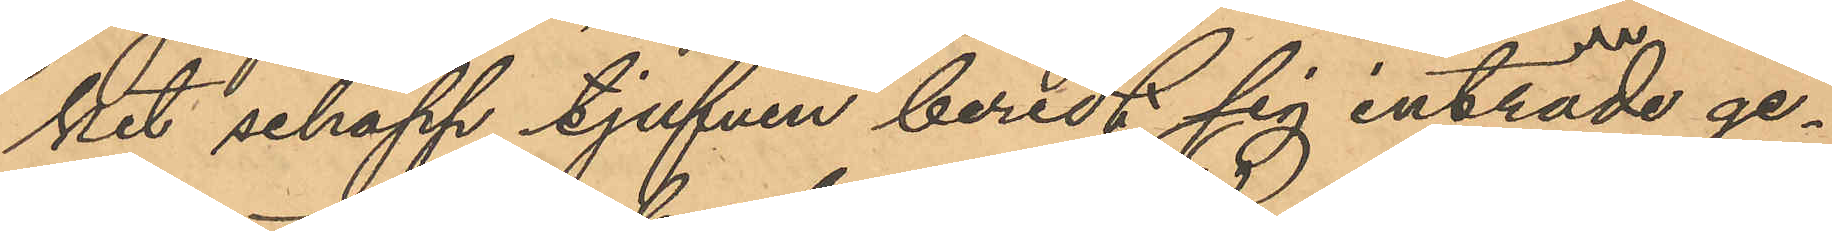ket schapp tjufven beredt sig inträde ge¬
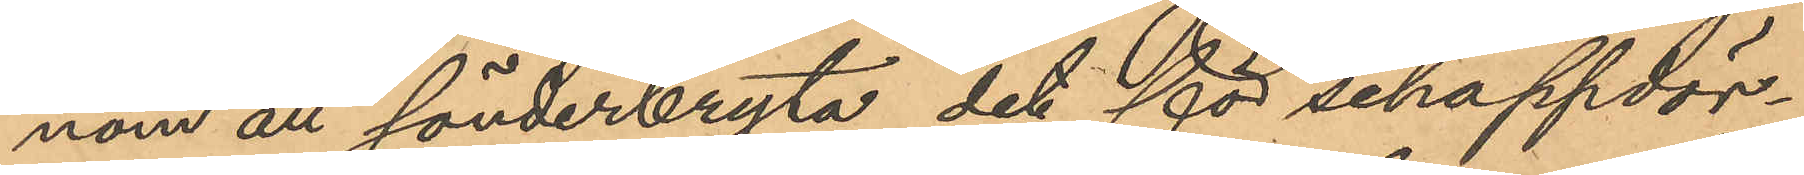nom att sönderbryta det för schappdör¬
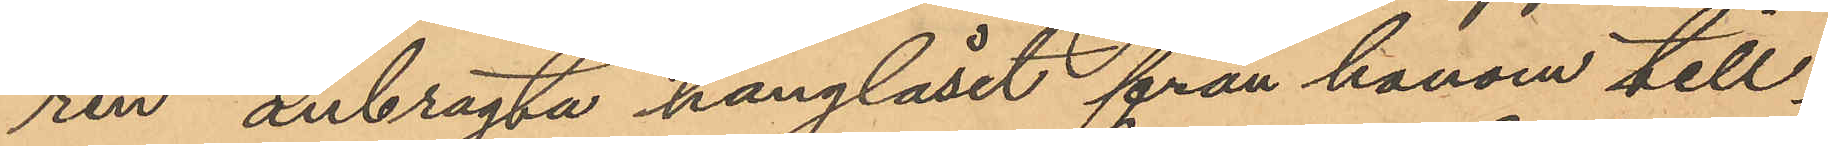ren anbragta hänglåset från honom till¬
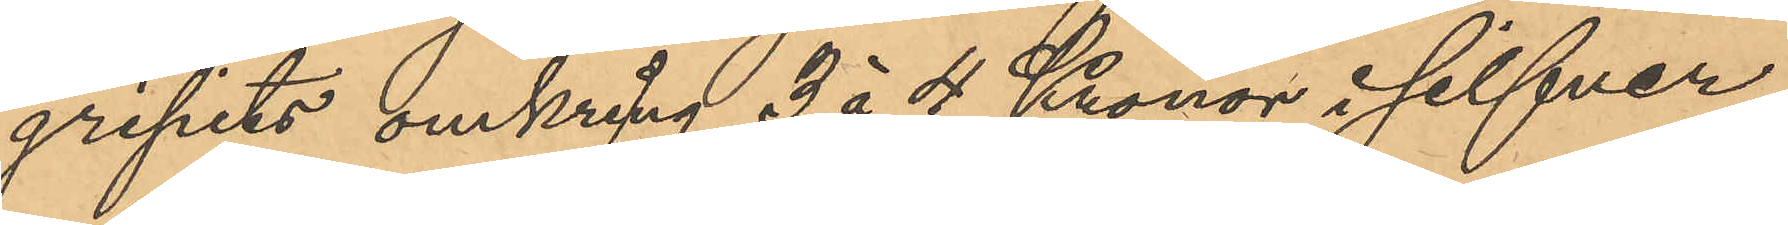gripits omkring 3 á 4 Kronor i silfver
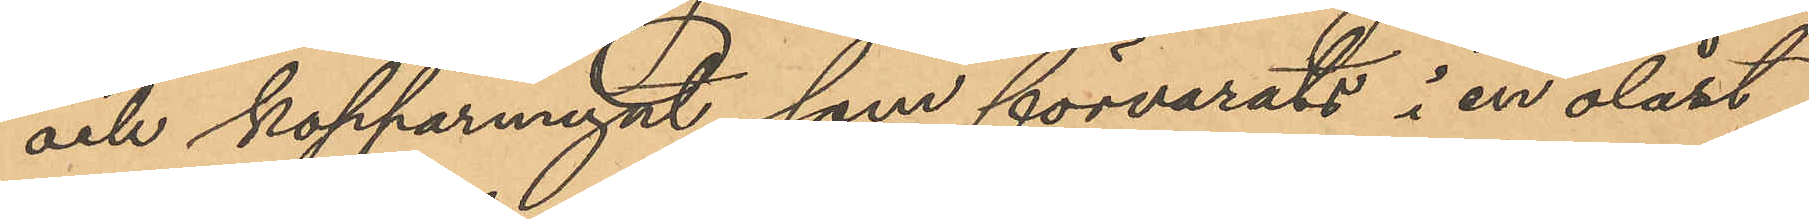och kopparmynt, som förvarats i en olåst
